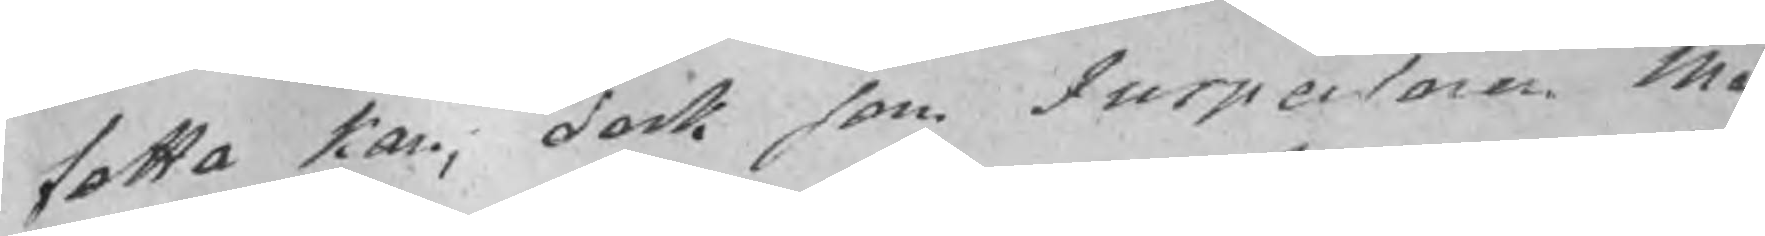fatta kan, dock som Inspectoren Mo¬
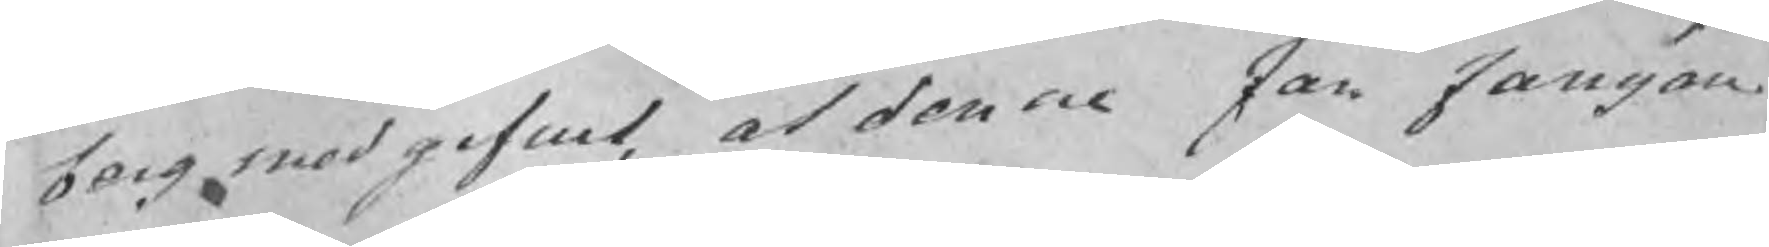berg medgifwit, at denne Jan Jansson,
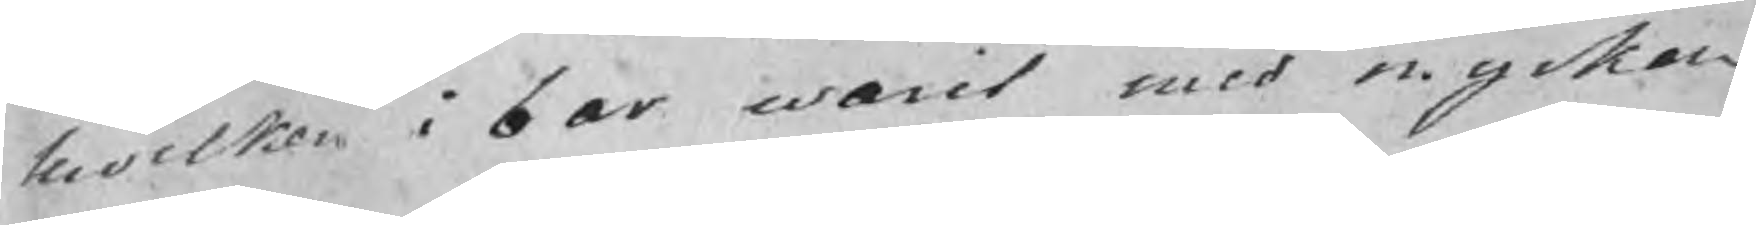hwilken i 6 år warit med mycken
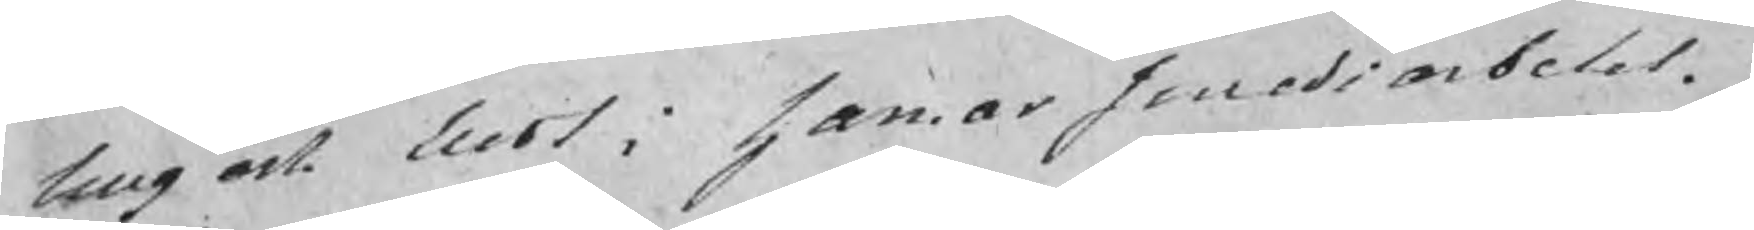.g och lust i hammarsmedsarbetet.
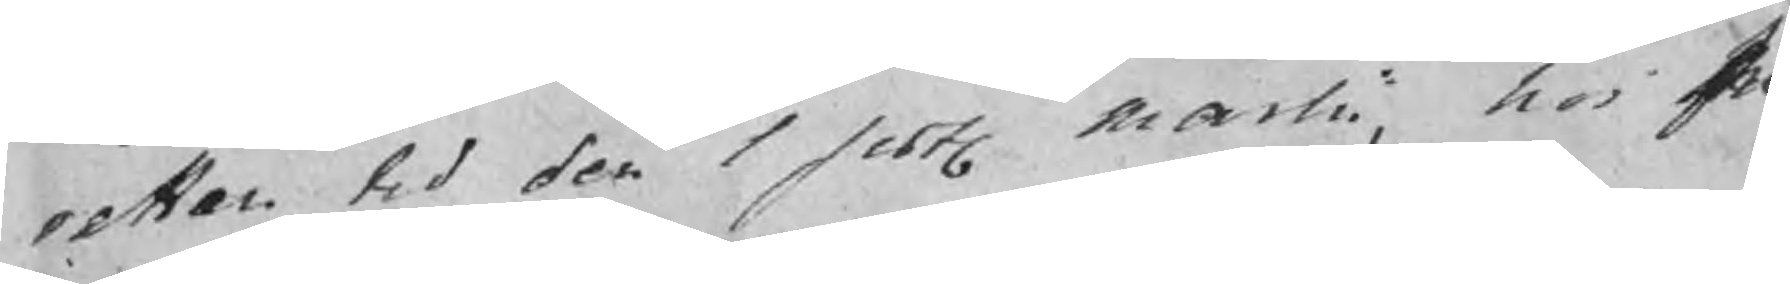Men tid den 1 sistl martii, hos In¬
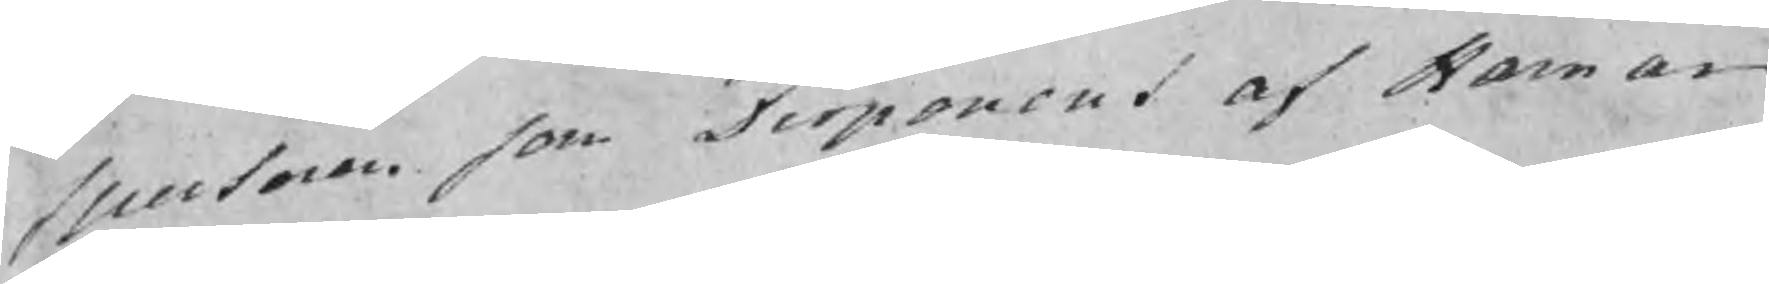spectoren som Disponent af Hamar¬
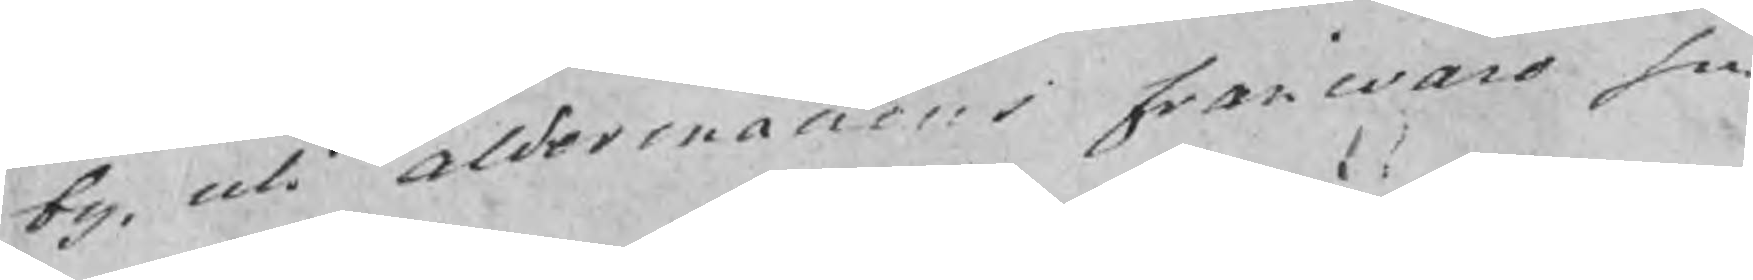by, uti aldermanens franwaro sin
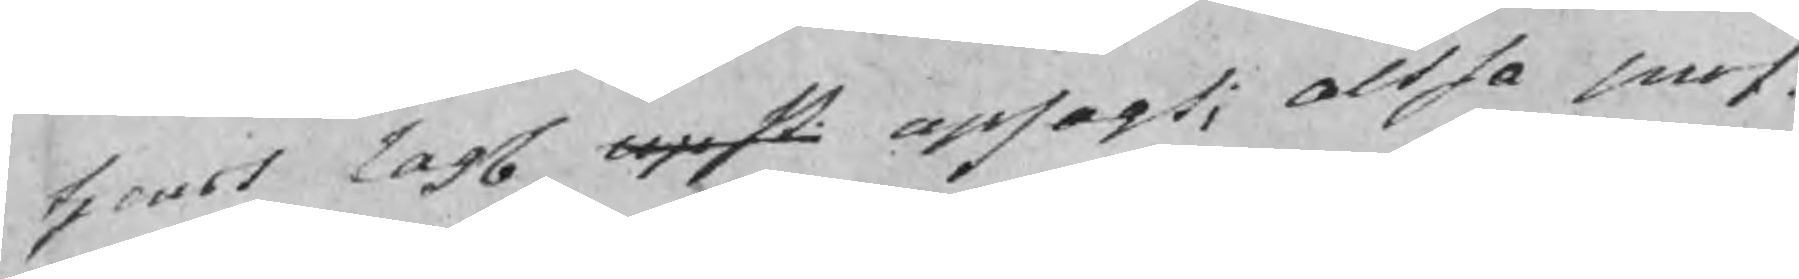tjenst lagl upst upsagt; altsa sn..
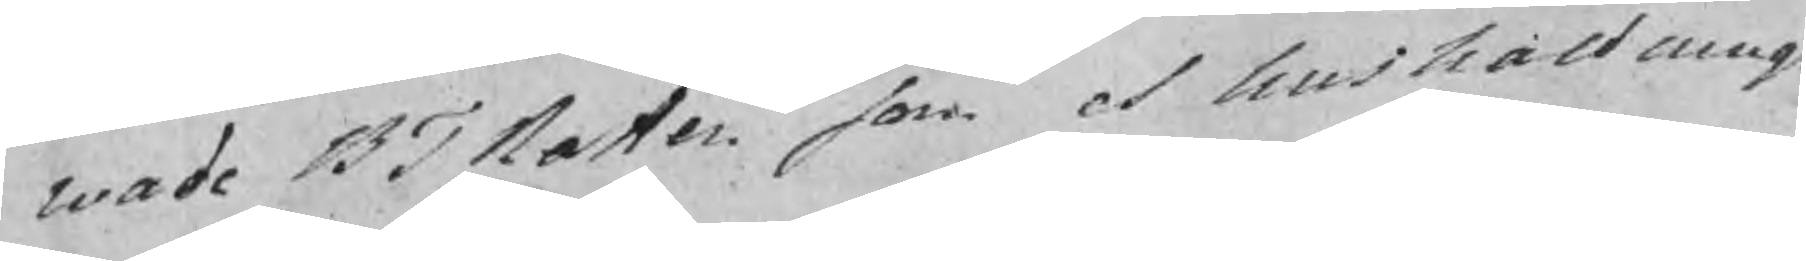wade BTRaten som et hushallnings
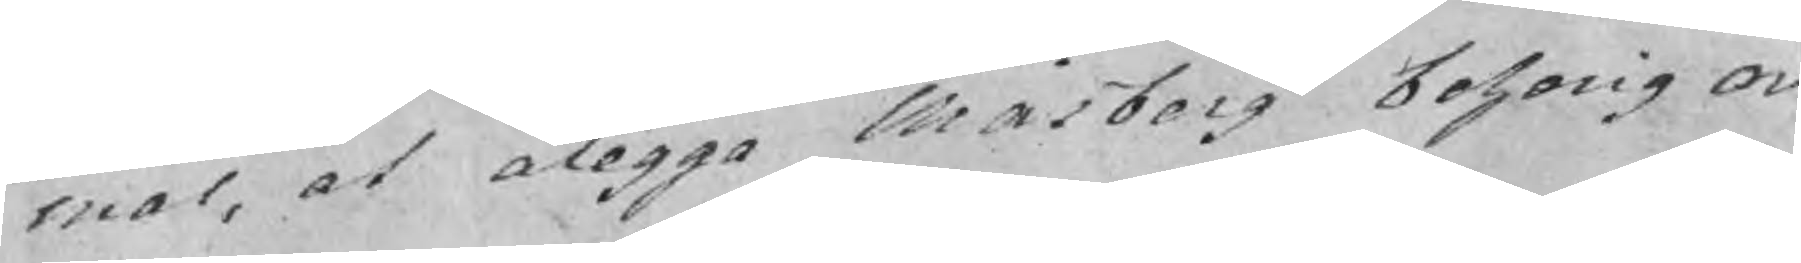mål, at alagga Måsberg behorig or
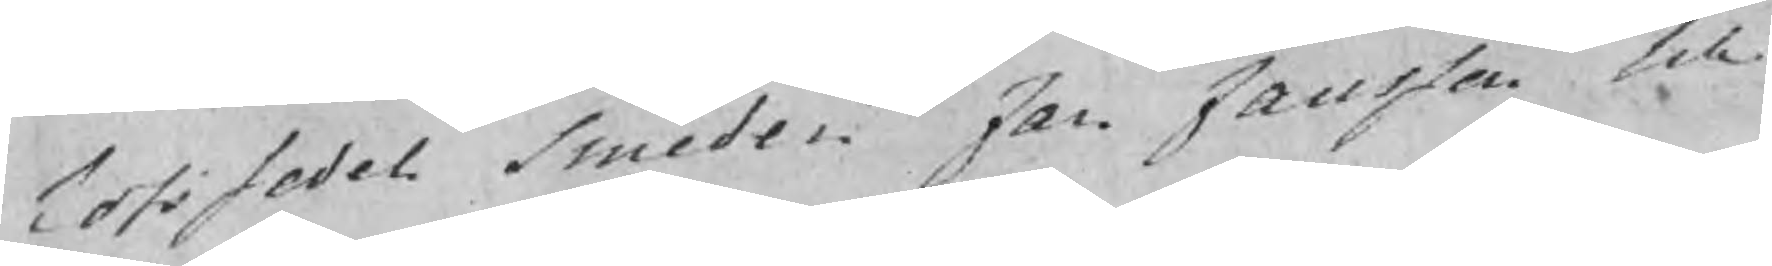lofssedel Smeden Jan Jansson till¬
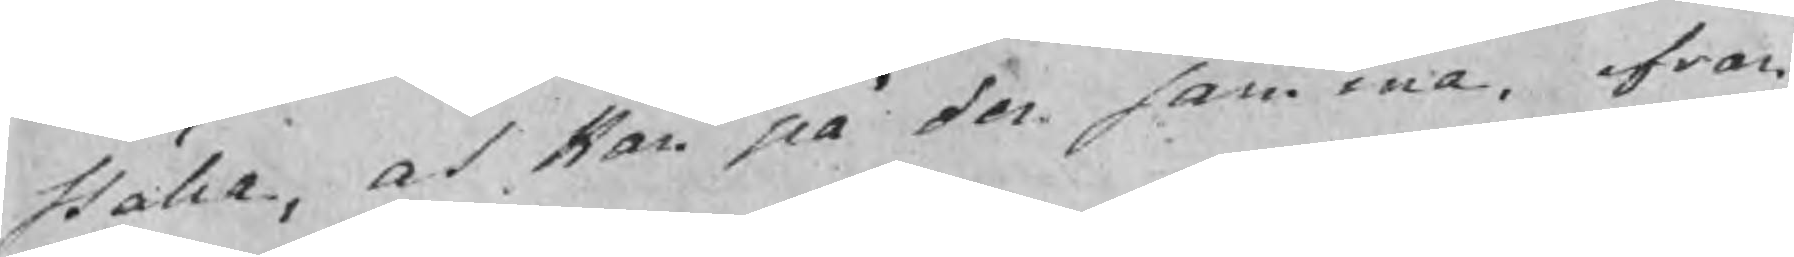ställa, at Han på den samma, ifran
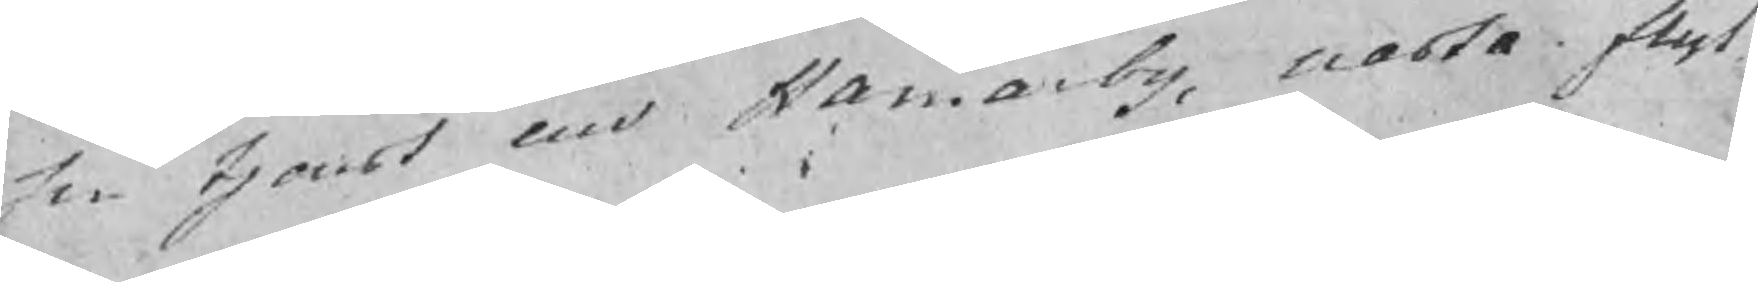sin tjenst uid Hamarby, nasta flyt¬
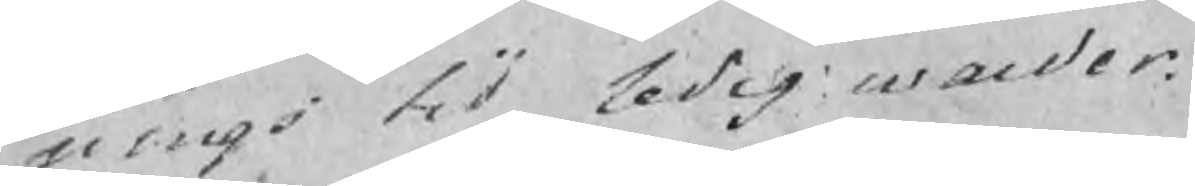nings tid ledig warder.
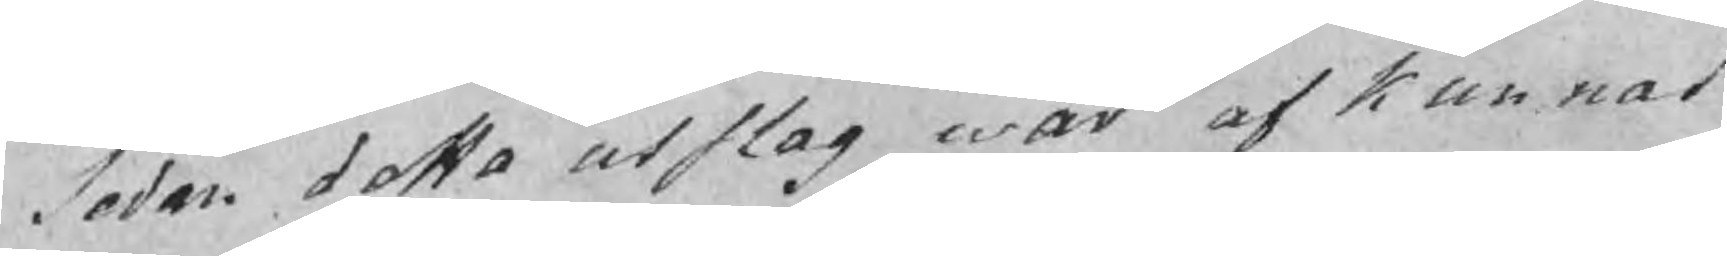Sedan detta utslag war afkunnat
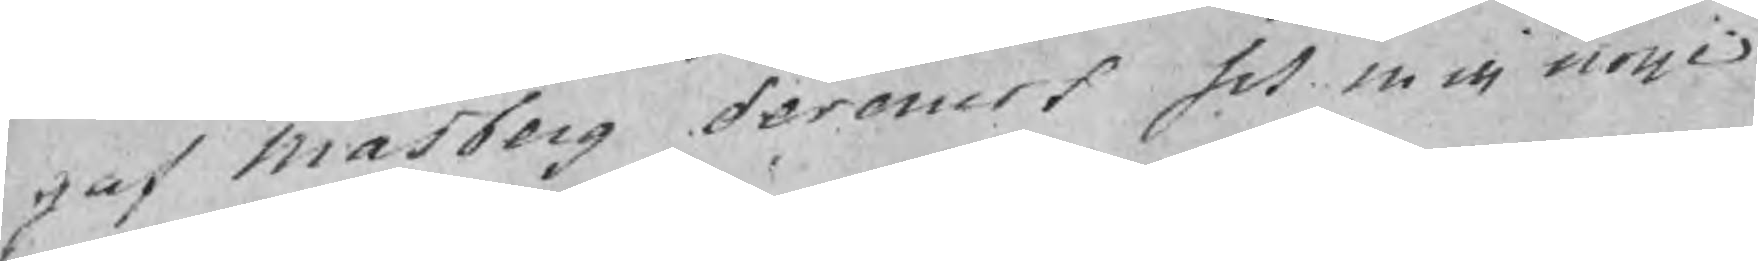gaf Måsberg deremot sit missnoije
